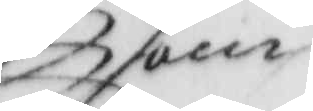som
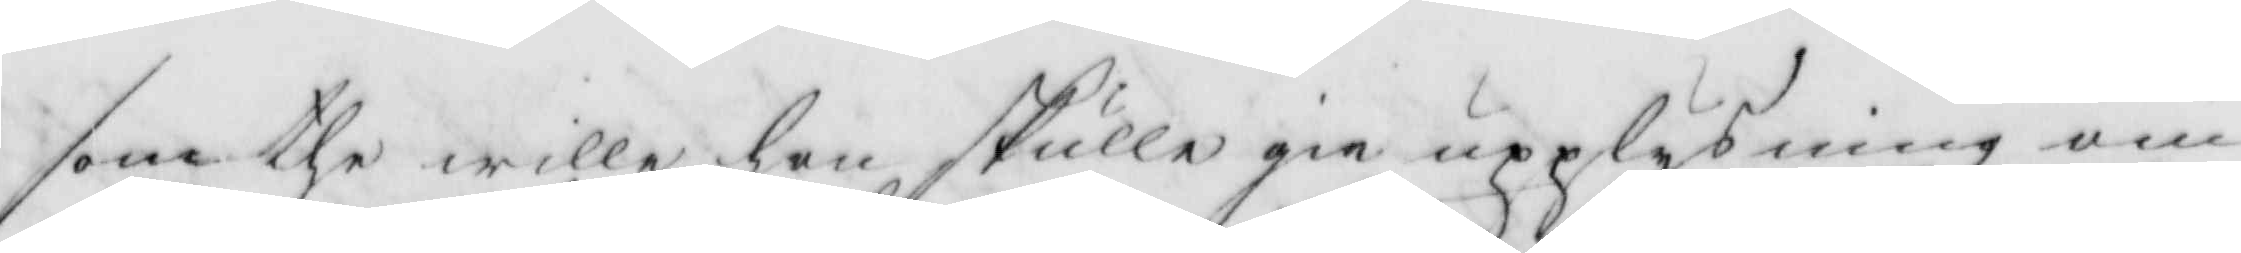som the wille hon skulle gie upplysning om
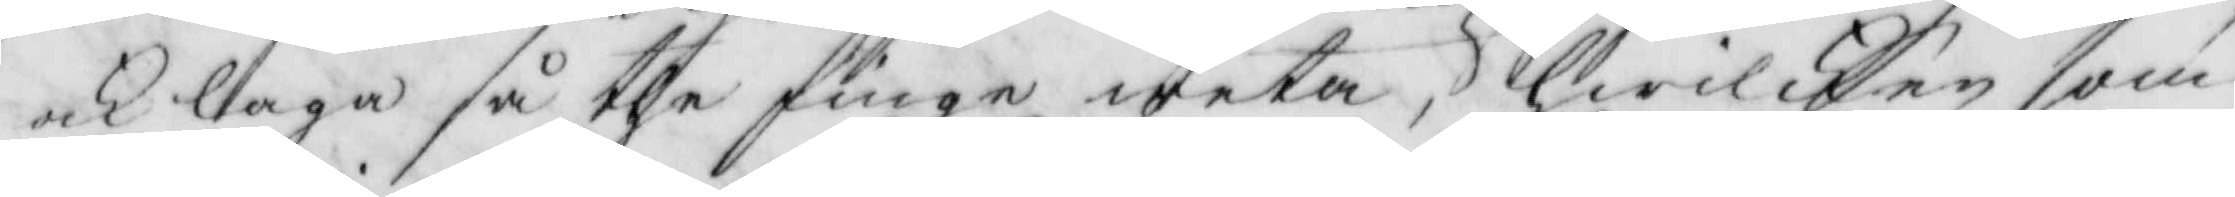ock laga så the finge weta, hhwilken som
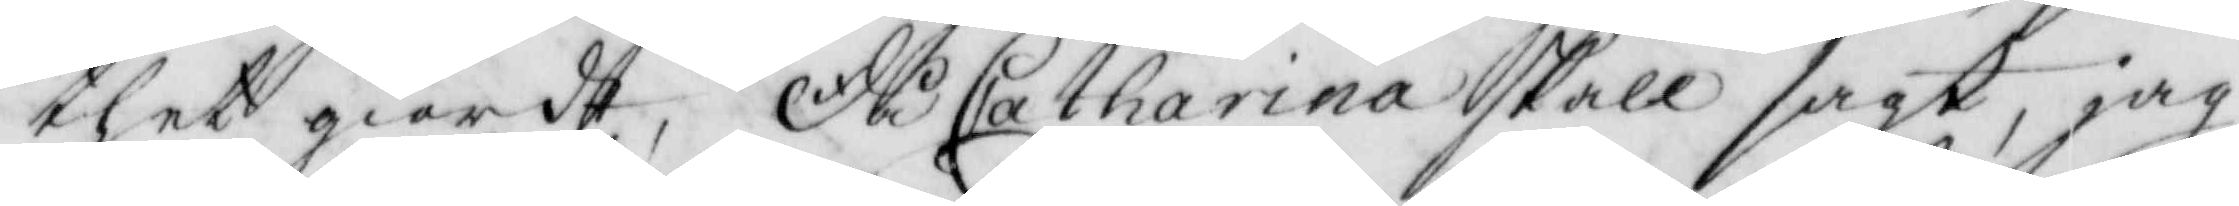thet giordt, då Catharina skall sagt, jag
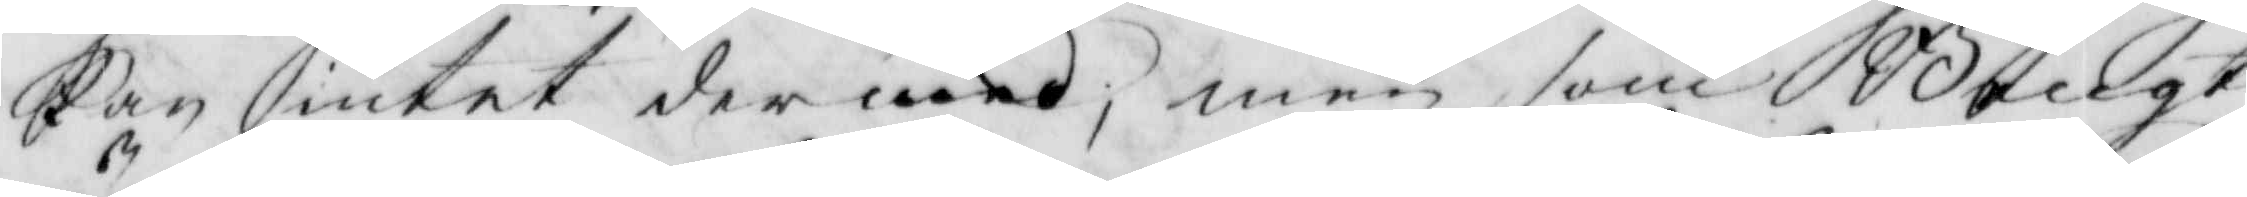kan intet dermed, men som Bengt
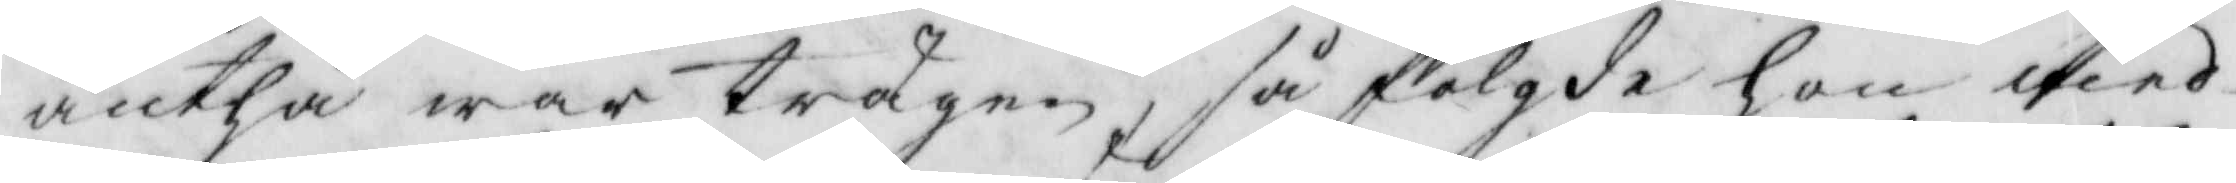änthå war trägen, så fölgde hon med
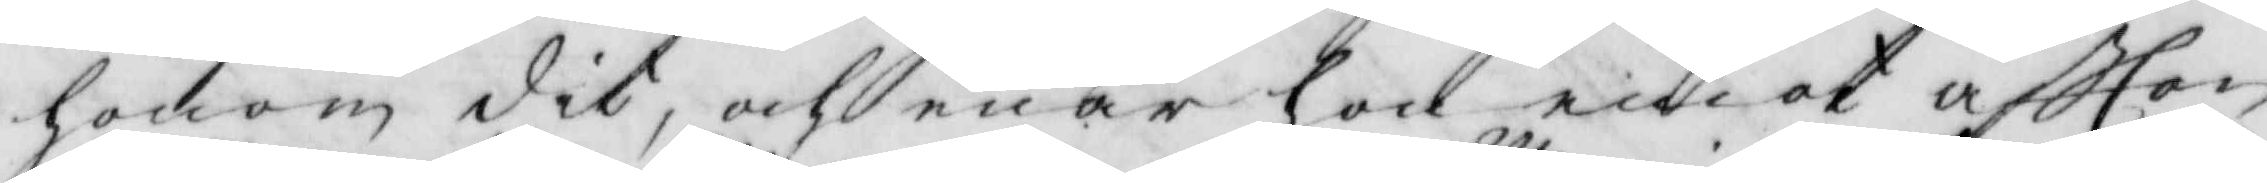honom dit, och enär hon emot aftton
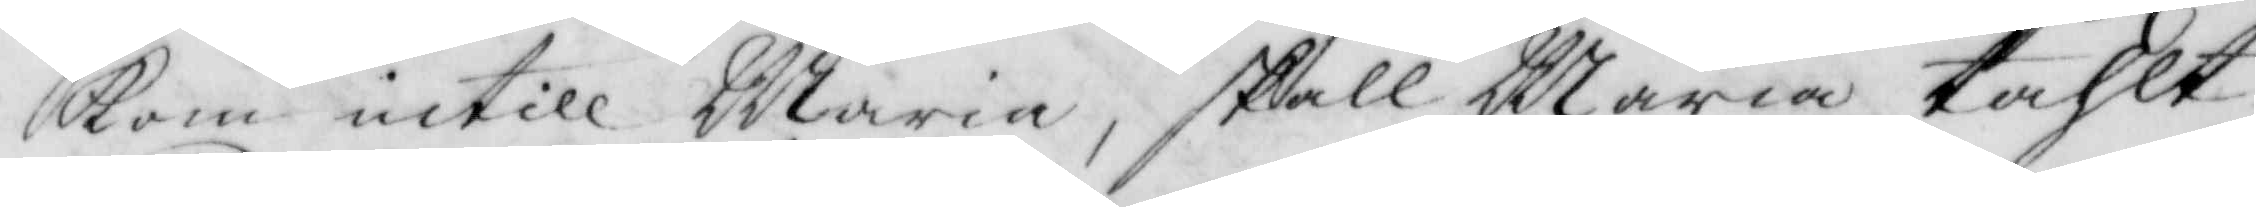kom intill Maria, skall Maria tahlt
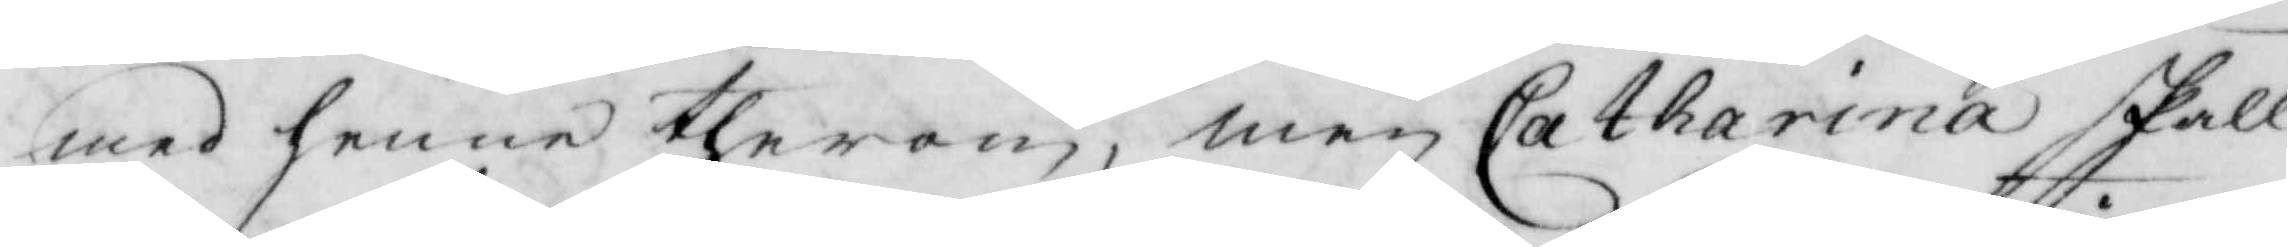med henne therom, men Catharina fall
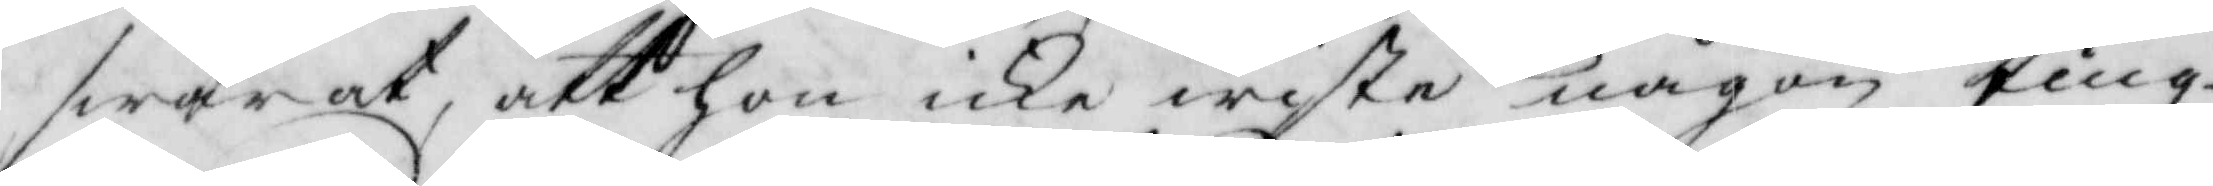swarat, att hon icke wiste någon ting
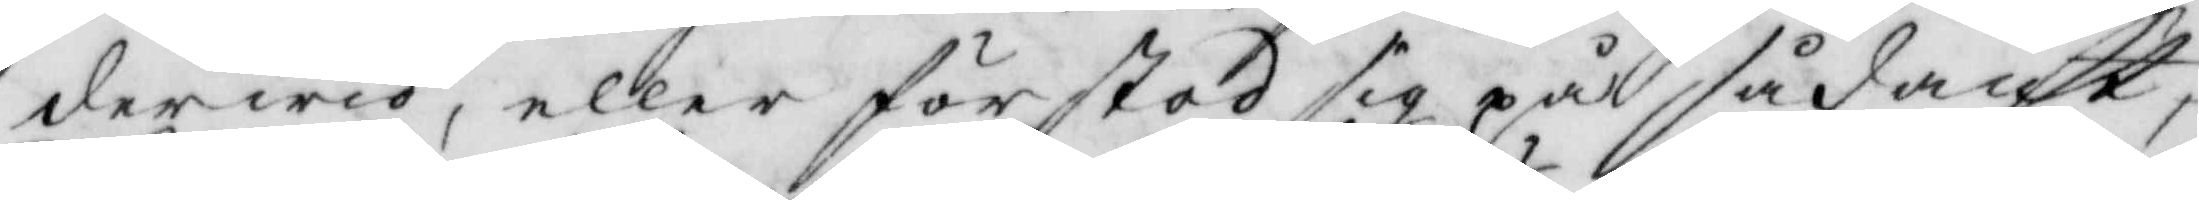derwid, eller förstod sig på sådant,
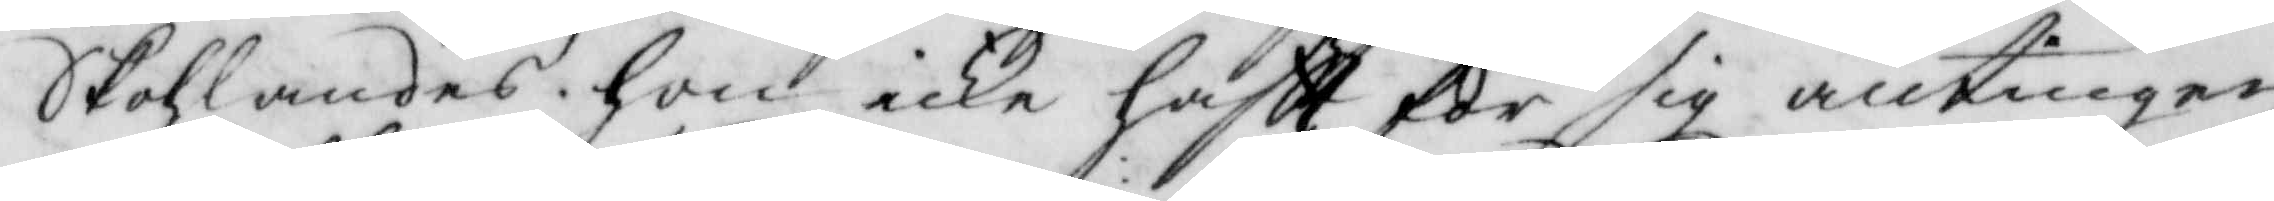Skohlandes hon icke haftt för sig antingen
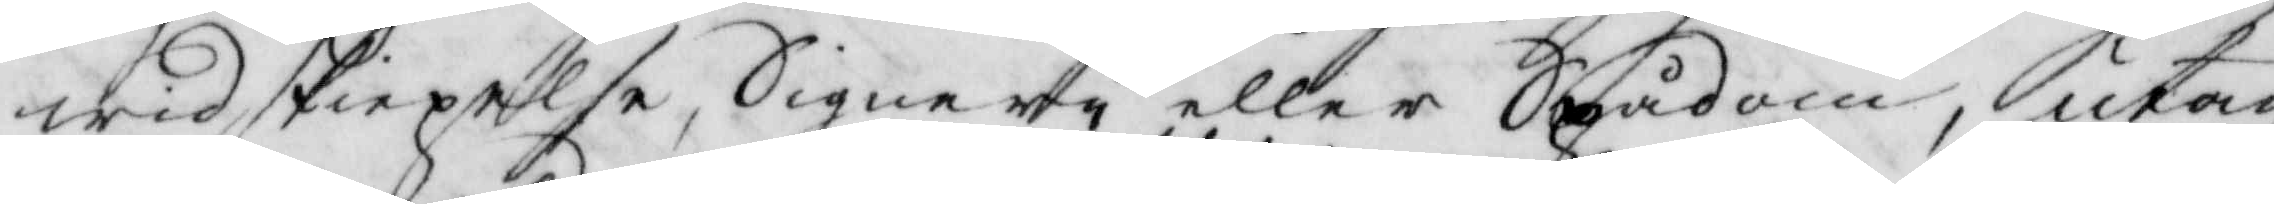widskiepelse, Signery eller Spådom, utan
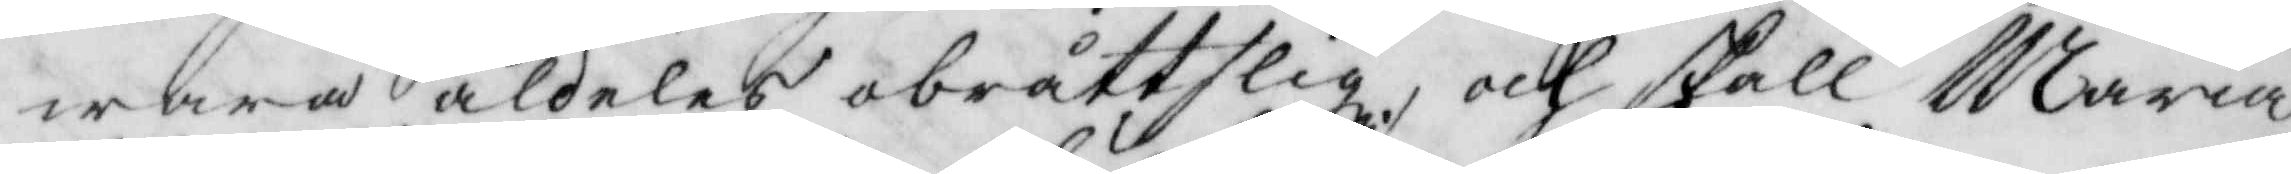wara aldeles obråttslig, och skall Maria
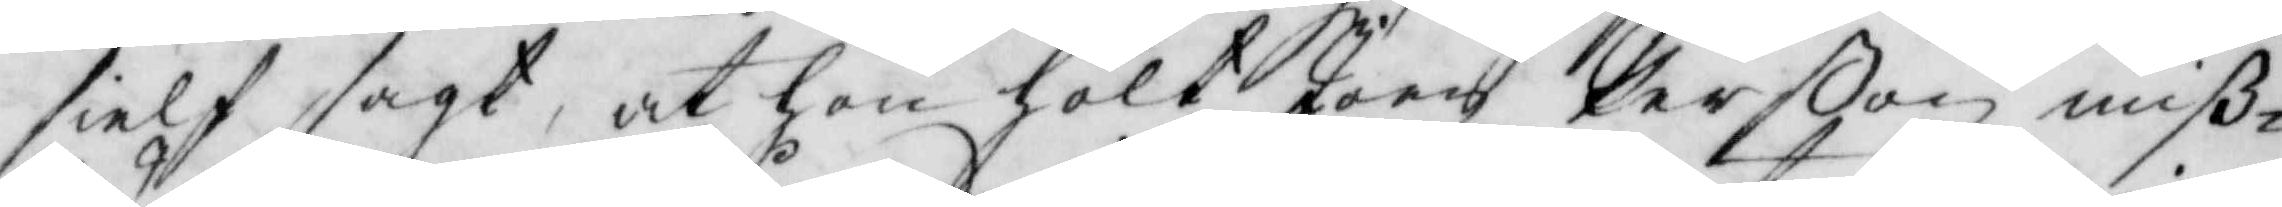sielf sagt, at hon hölt Joen Perßon miß¬
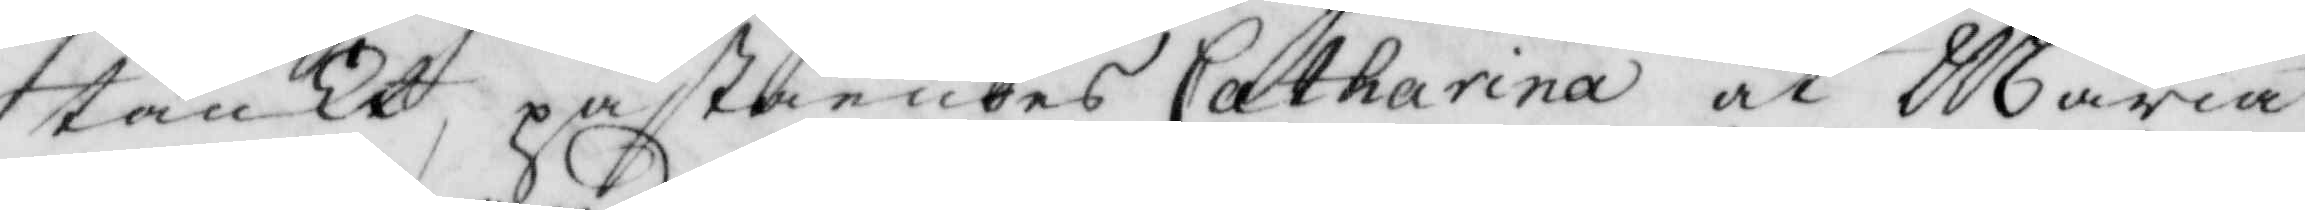stänkt, påståendes Catharina at Maria
